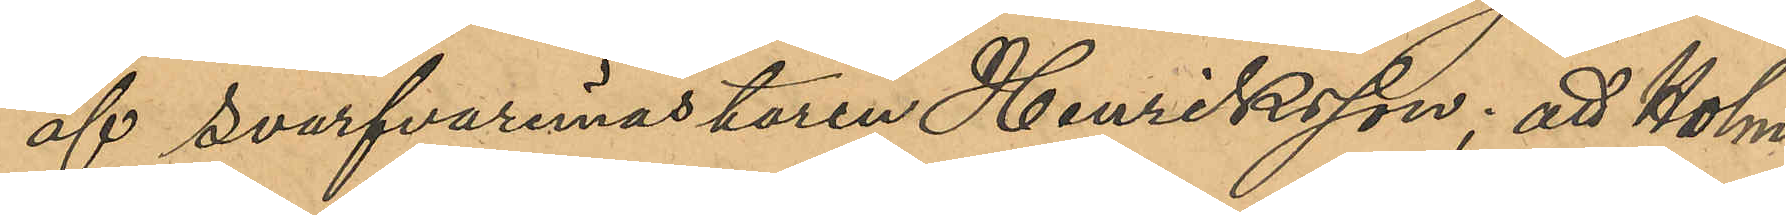af svarfvaremästaren Henriksson; att Holm¬
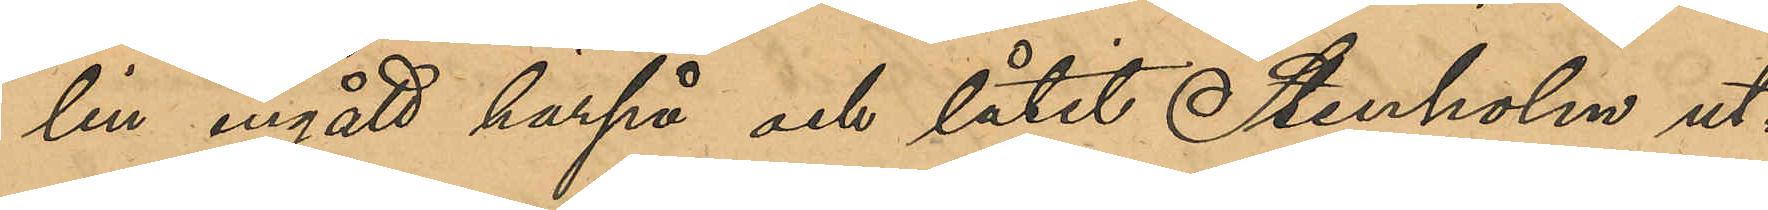lin ingått härpå och låtit Stenholm ut¬
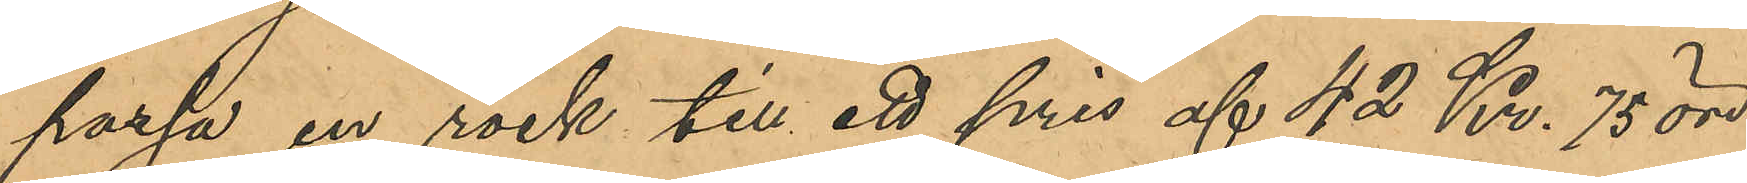passa en rock till ett pris af 42 Kr. 75 öre;
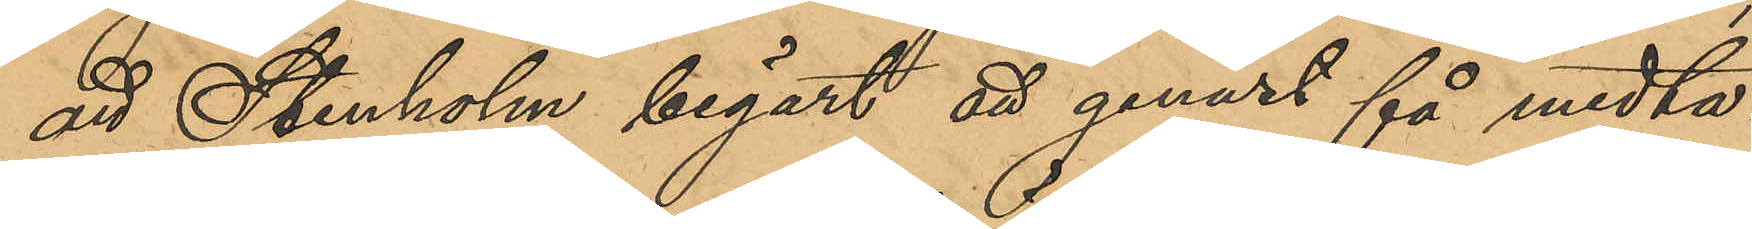att Stenholm begärt att genast få medta¬
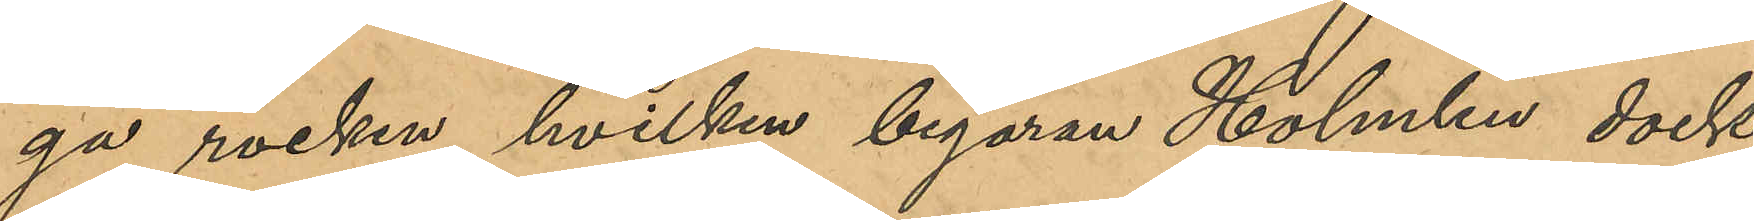ga rocken, hvilken begäran Holmlin dock
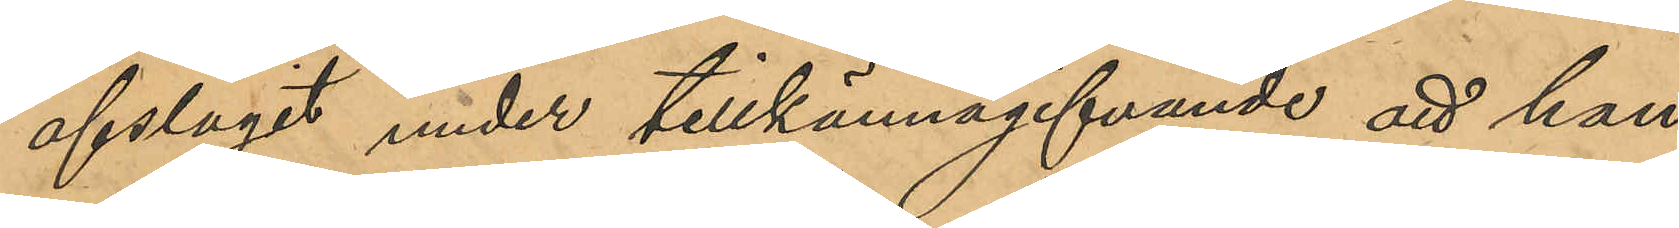afslagit under tillkännagifvande att han
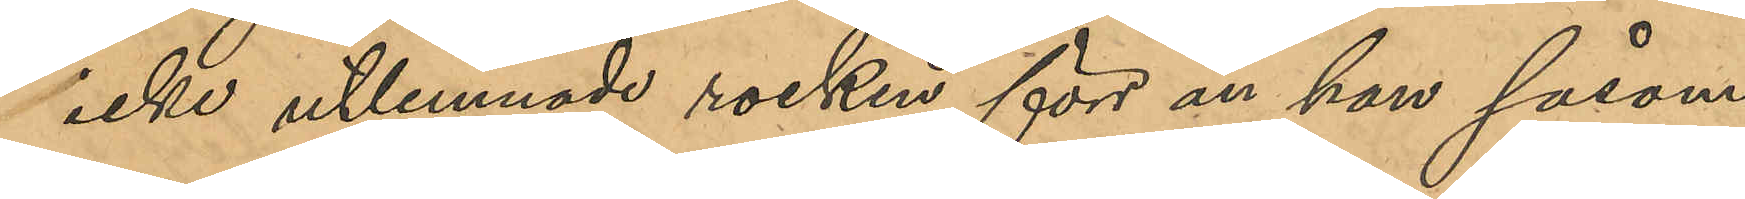icke utlemnade rocken förs än han såsom
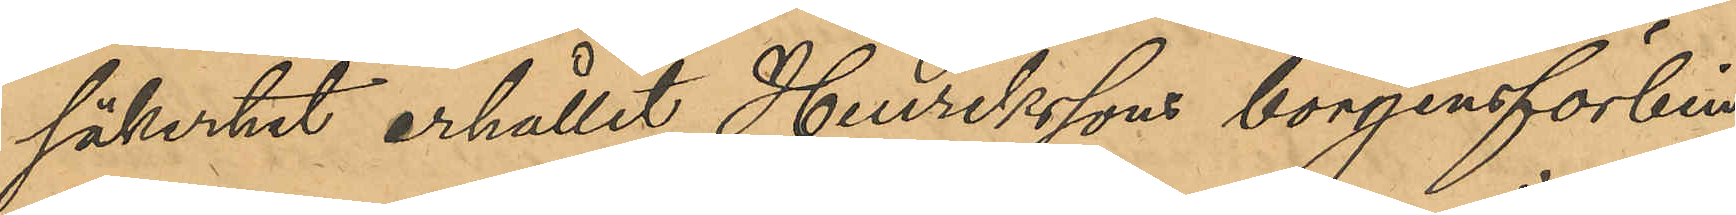säkerhet erhållit Henrikssons borgensförbin¬
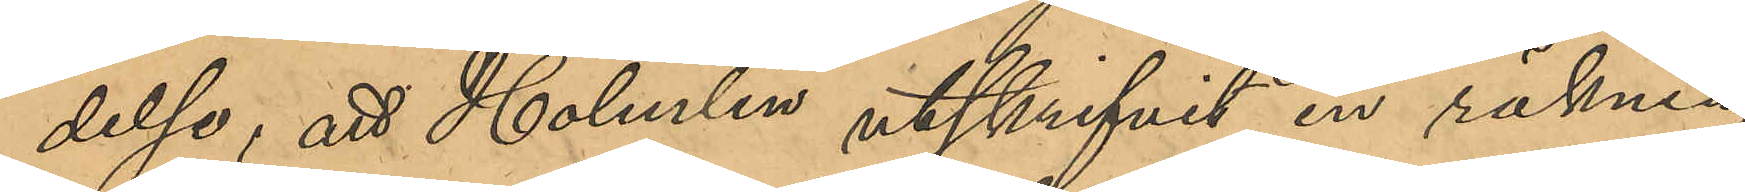delse; att Holmlin utskrifvit en räkning
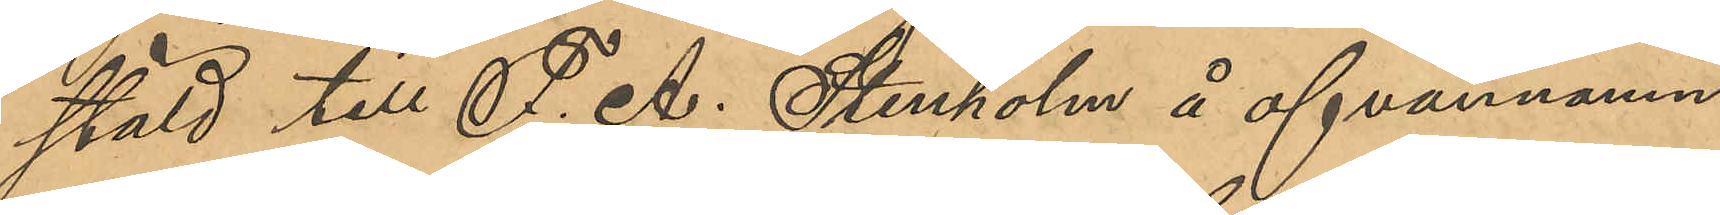stäld till F. A. Stenholm å ofvannämn¬
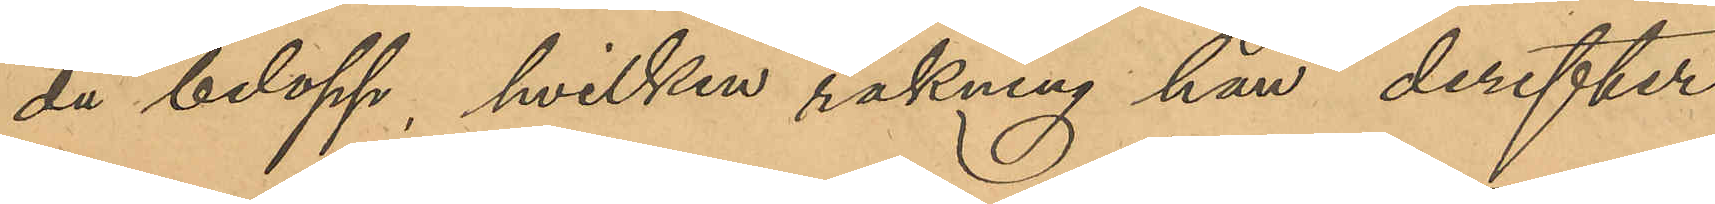da belopp, hvilken räkning han derefter
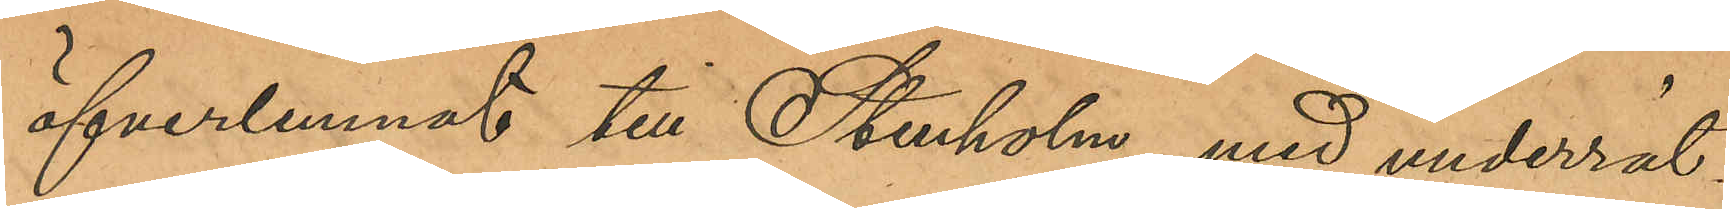öfverlemnats till Stenholm med underrät¬
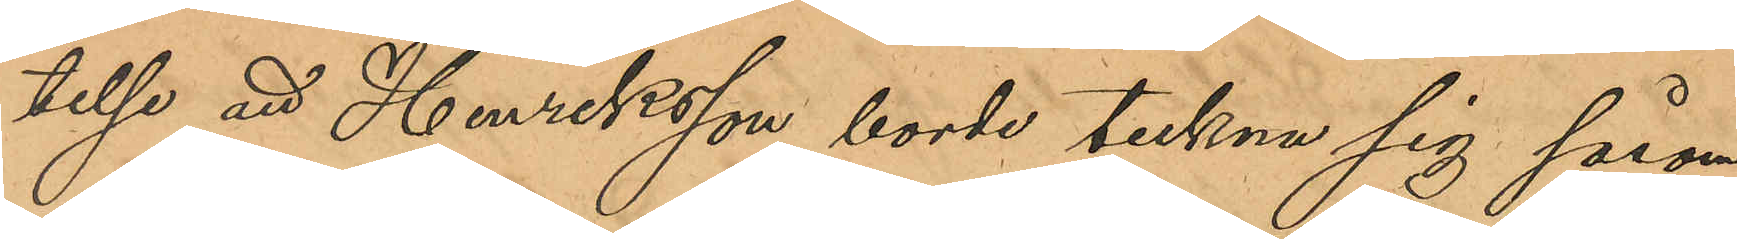telse att Henriksson borde teckna sig såsom
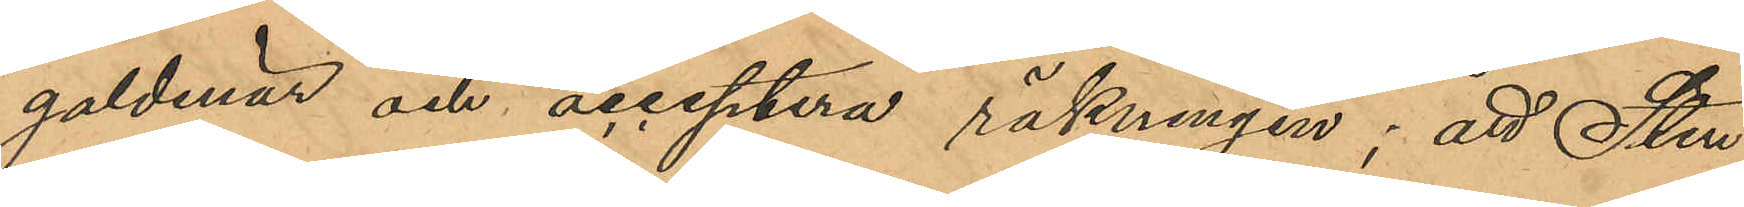galdenär och acceptera räkningen; att Sten¬
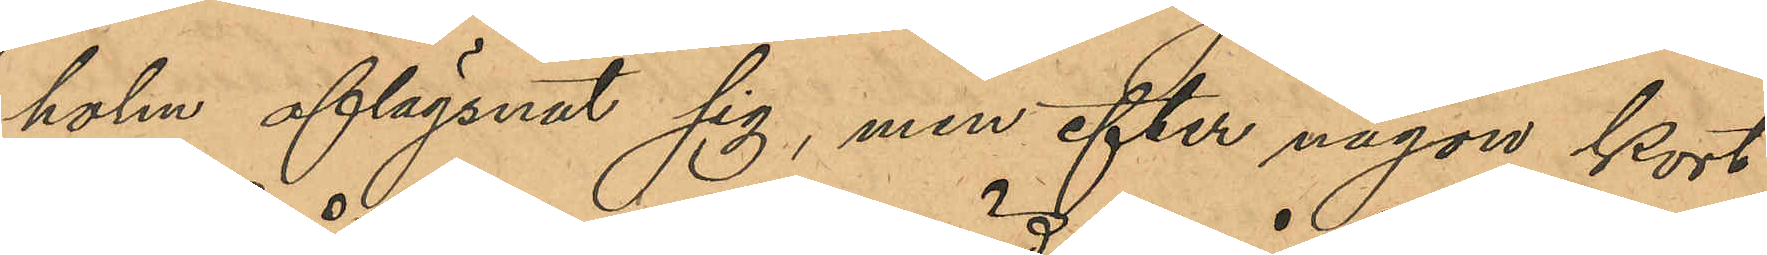holm aflägsnat sig, men efter någon kort
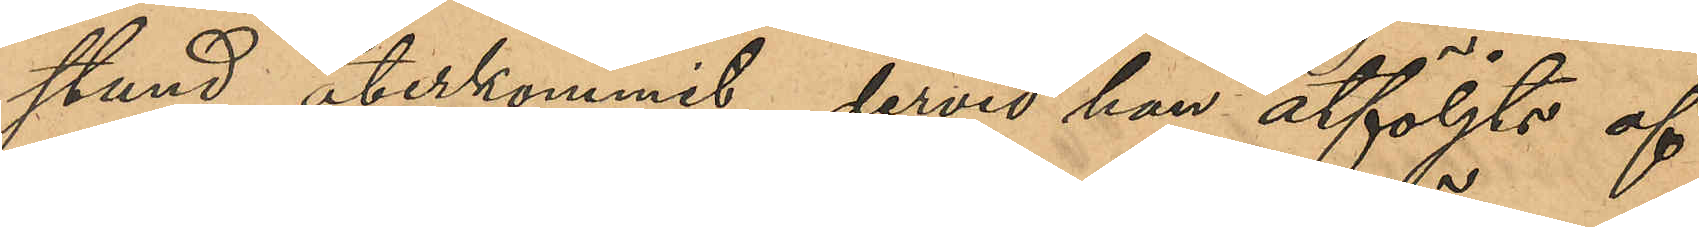stund återkommit, dervid han åtföljts af
